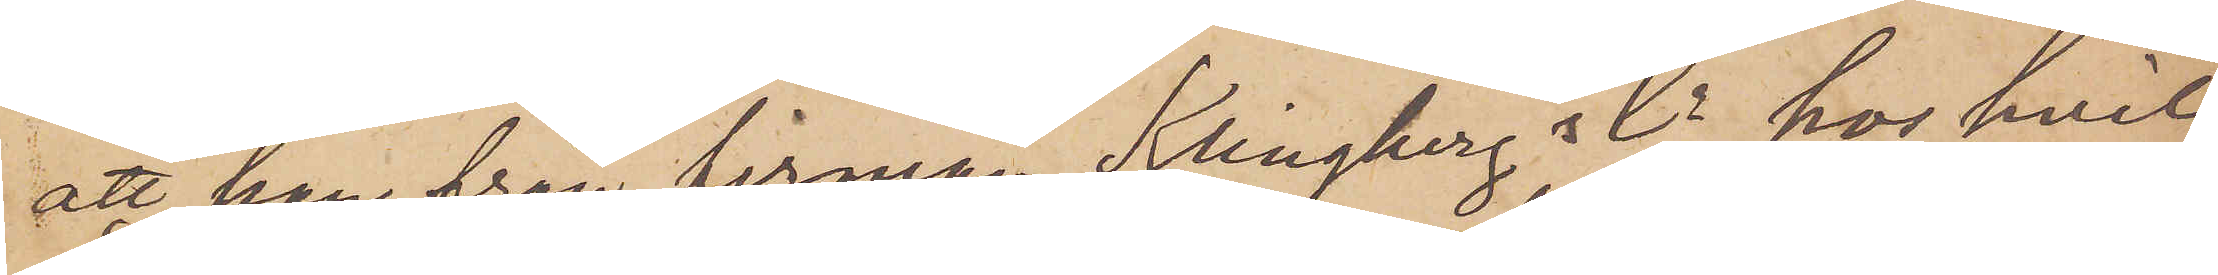att han från firman Klingberg & Co hos hvil¬
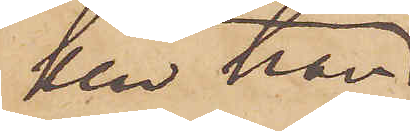ken han
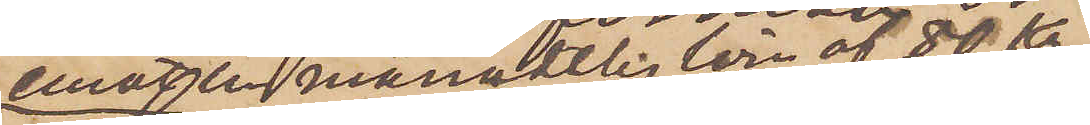emotser månadtlig lön af 80 kr
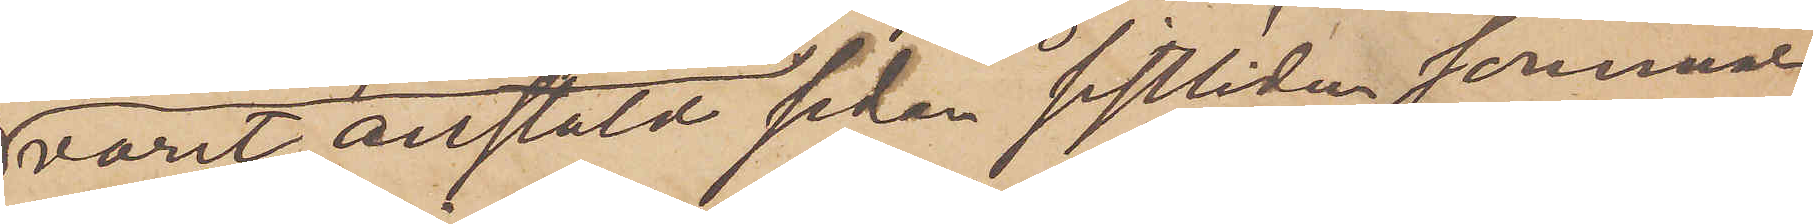varit anstäld sedan sistlidne sommar,
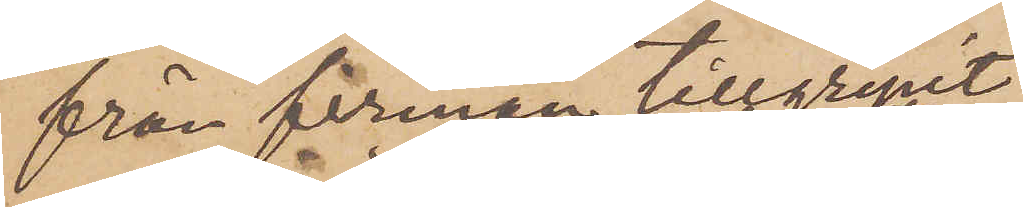från firman tillgripit
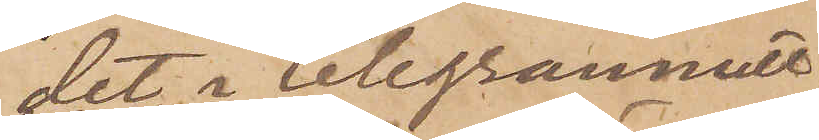det i telegrammet
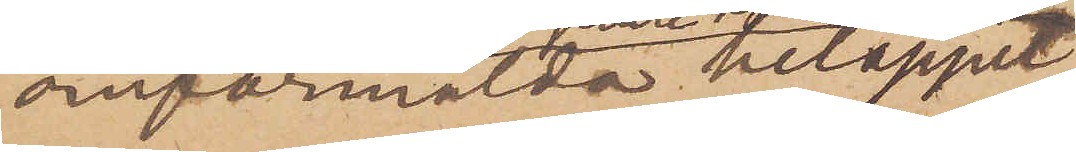omförmälda beloppet
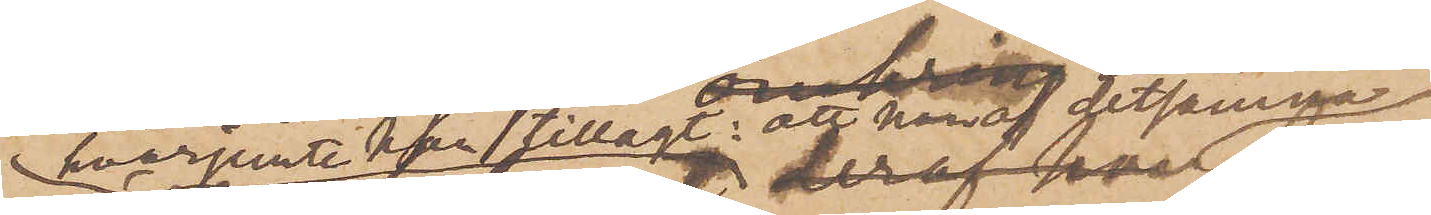hvarjemte han tillagt: att hvaraf detsamma
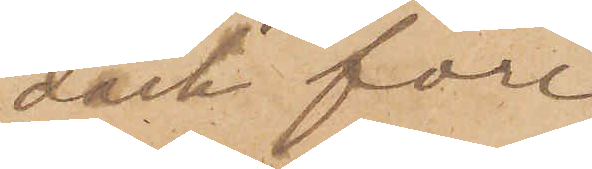dock före¬
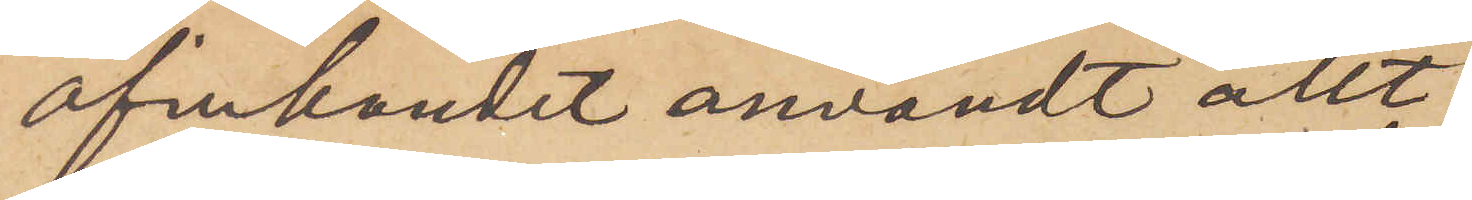afinkandet användt allt
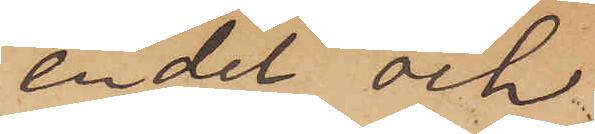en del och
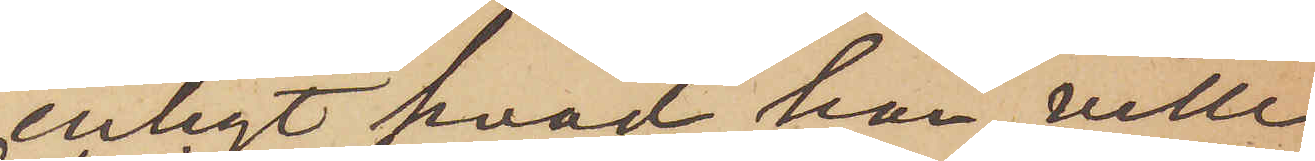enligt hvad han ville
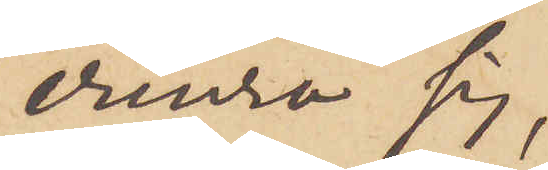erinra sig,
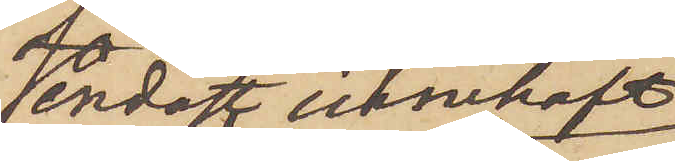endast innehaft
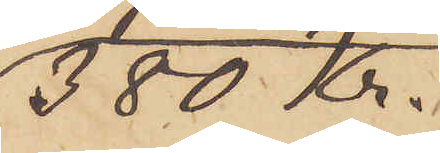380 Kr.
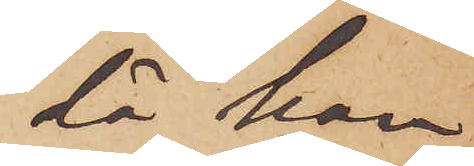då han
